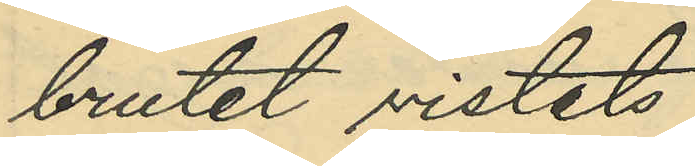brutet vistats;
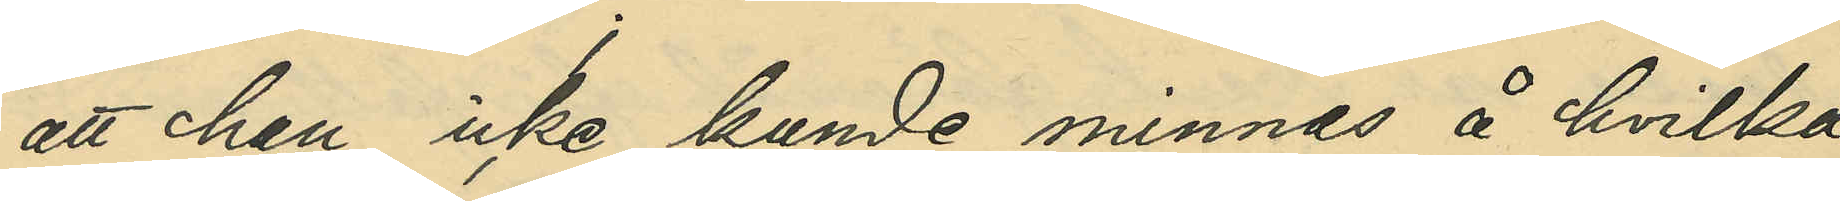att han icke kunde minnas å hvilka
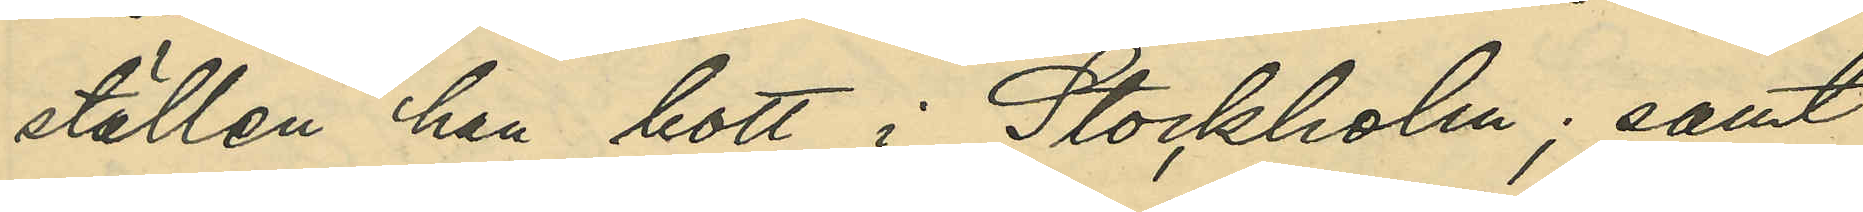ställen han bott i Stockholm; samt
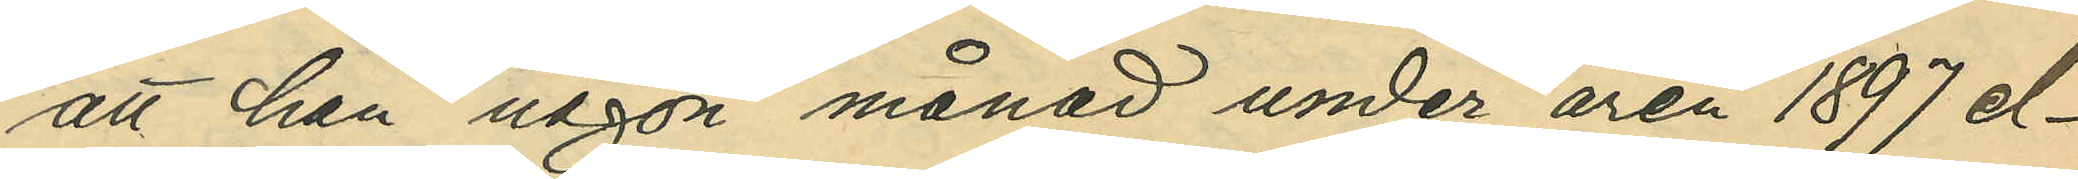att han någon månad under åren 1897 el¬
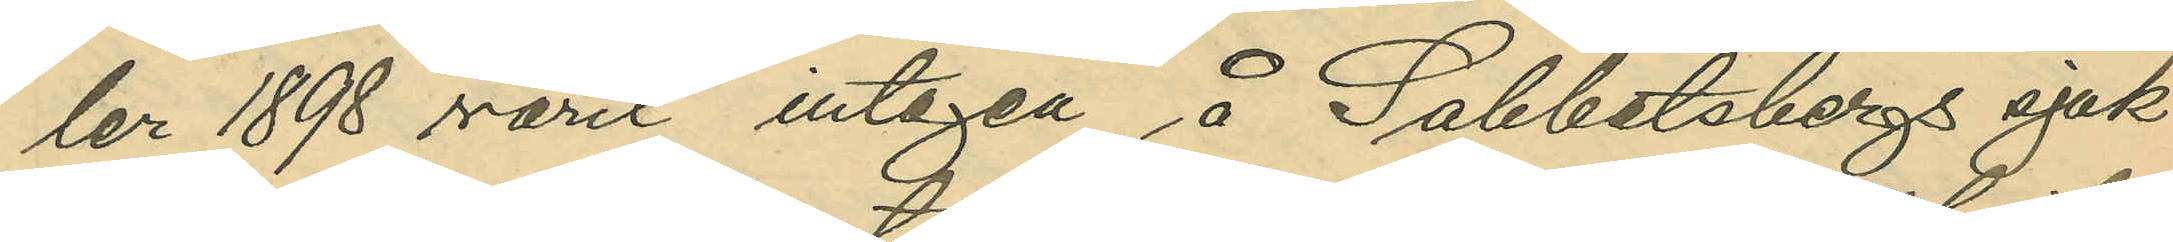ler 1898 varit intagen å Sabbatsbergs sjuk¬
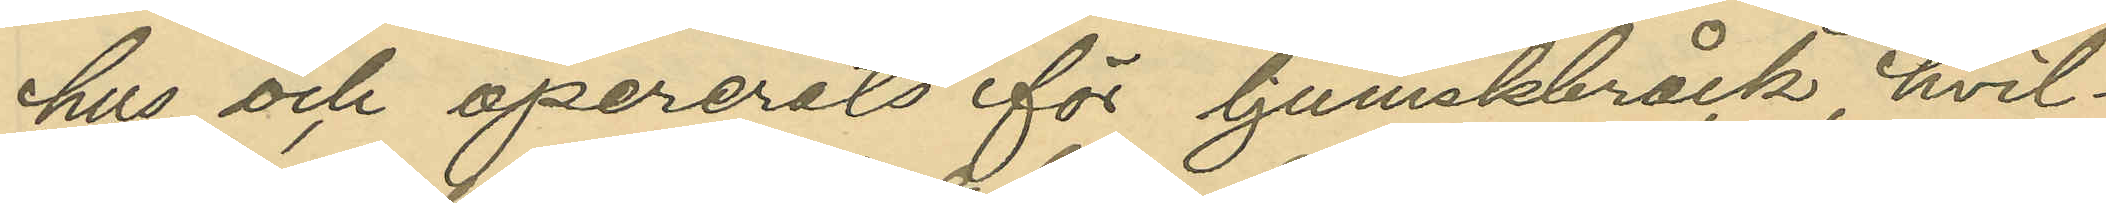hus och opererats för ljumskbråck, hvil¬
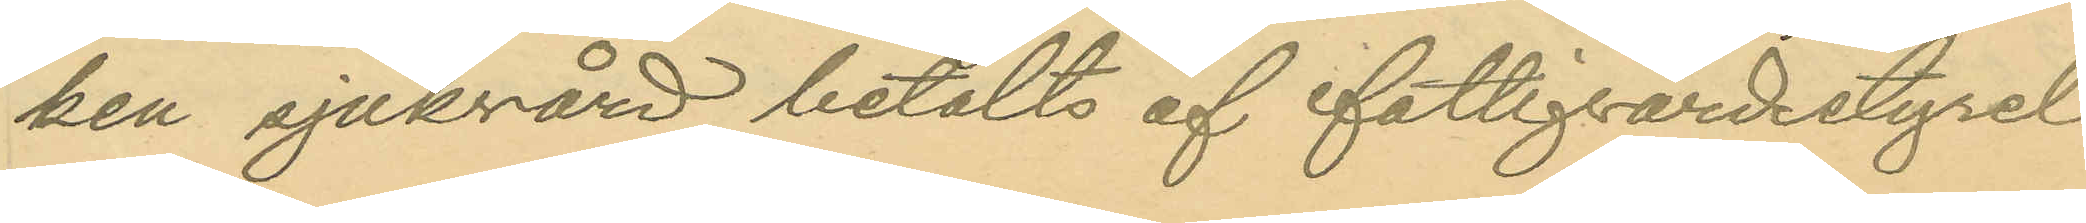ken sjukvård betalats af fattigvårdsstyrel-
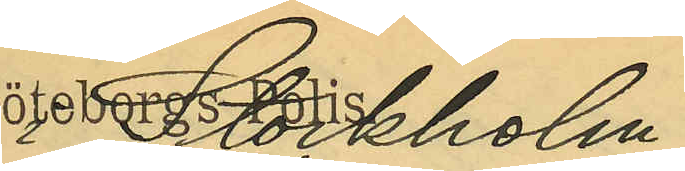i Stockholm.
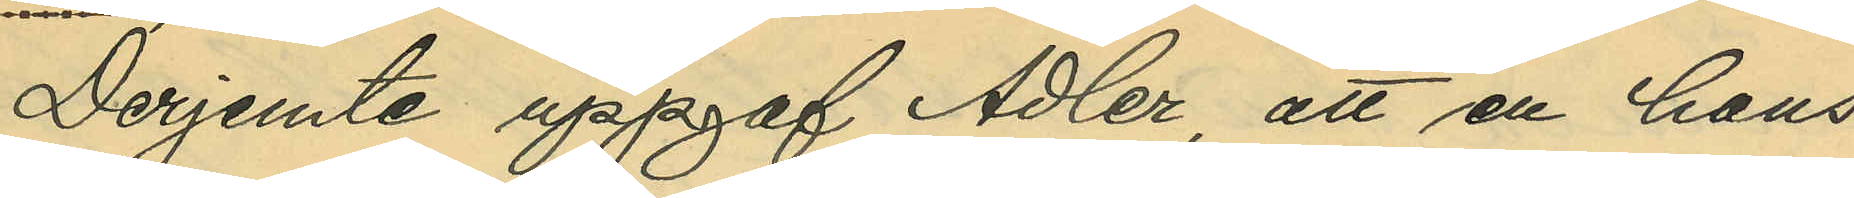Derjemte uppgaf Adler, att en hans
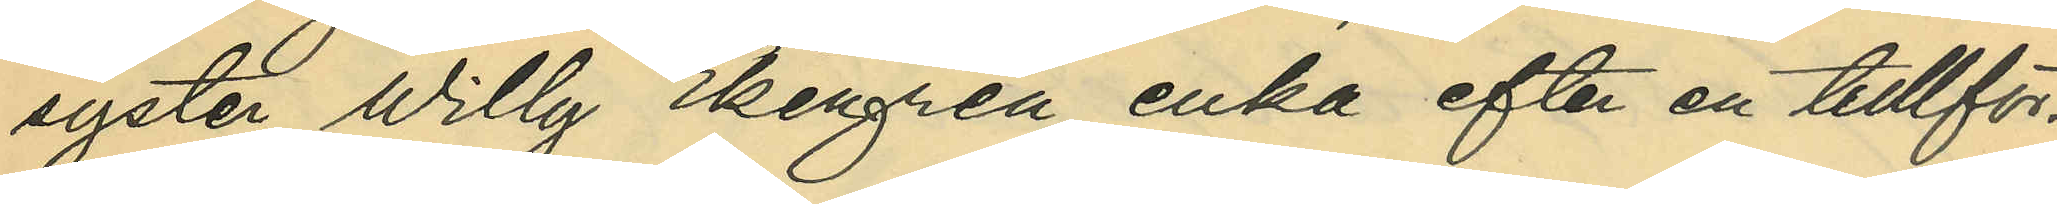syster Willy Ekengren, enka efter en tullför¬
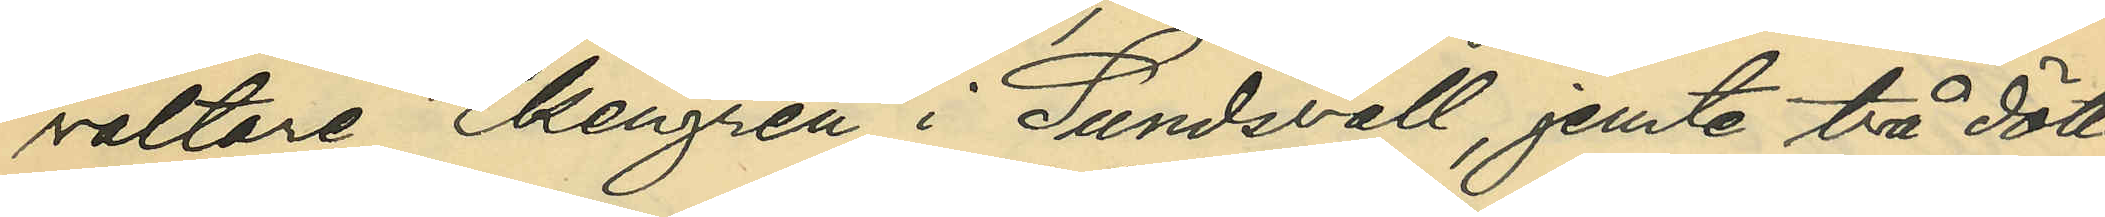valtare Ekengren i Sundsvall, jemte två dött¬
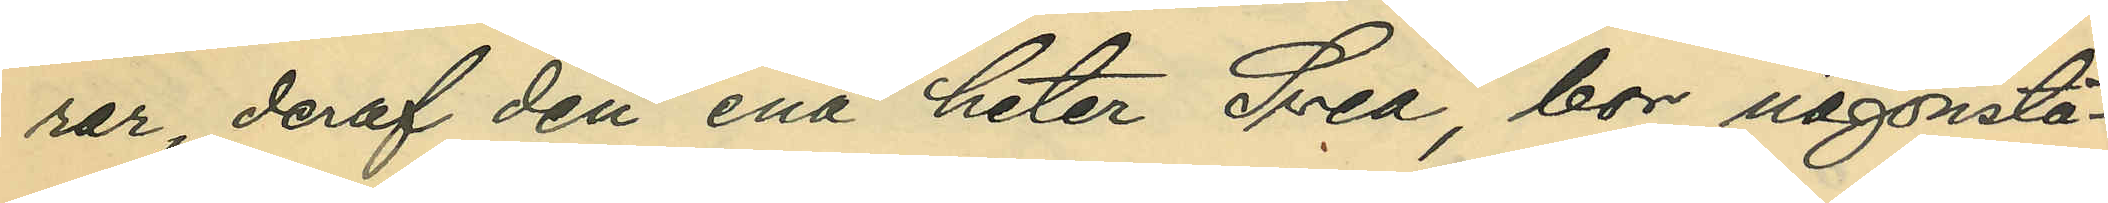rar, deraf den ena heter Svea, bor någonstä¬
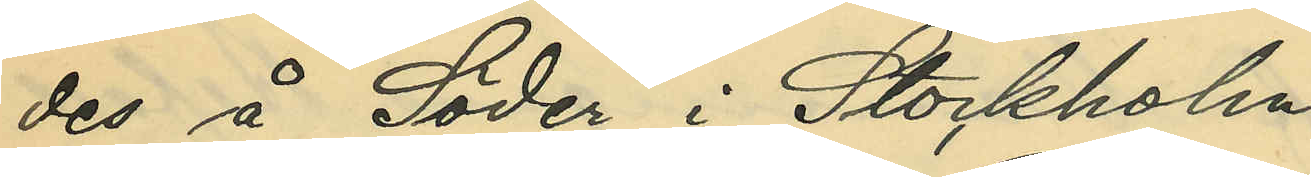des å Söder i Stockholm.
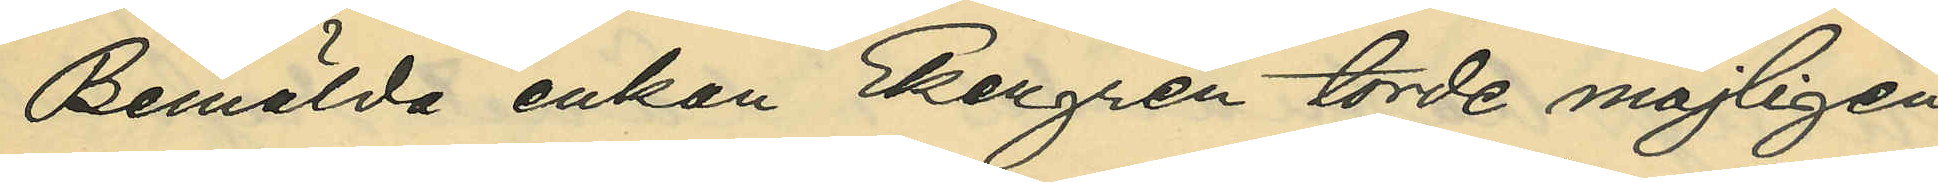Bemälda enkan Ekengren torde möjligen
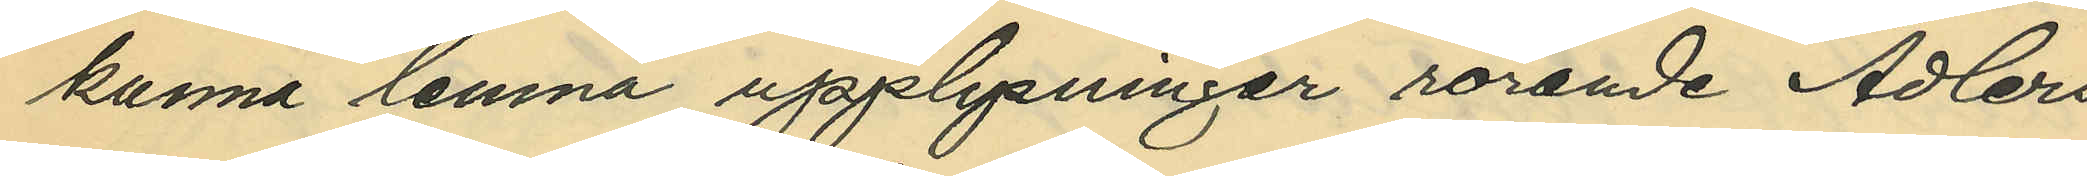kunna lemna upplysningar rörande Adlers
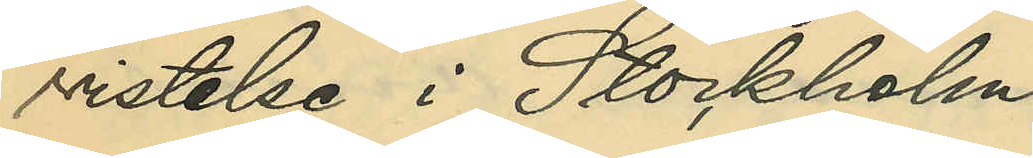vistelse i Stockholm.
